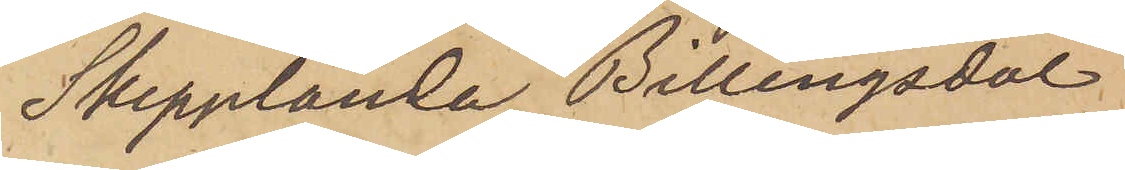Skepplanda, Billingsdal
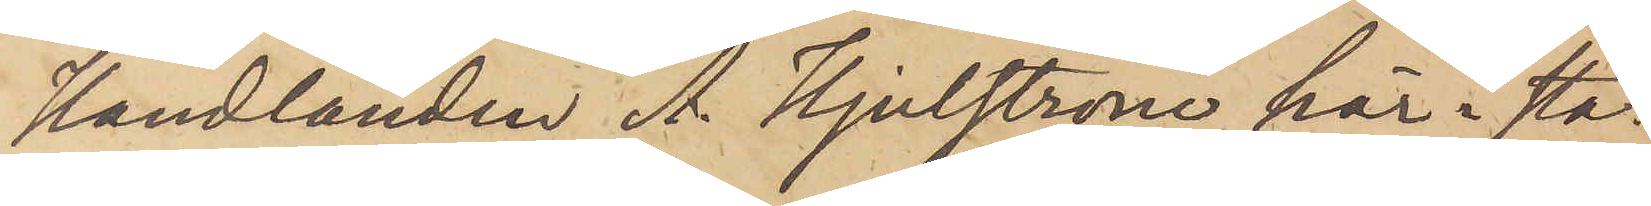Handlanden A. Hjulström här i sta¬
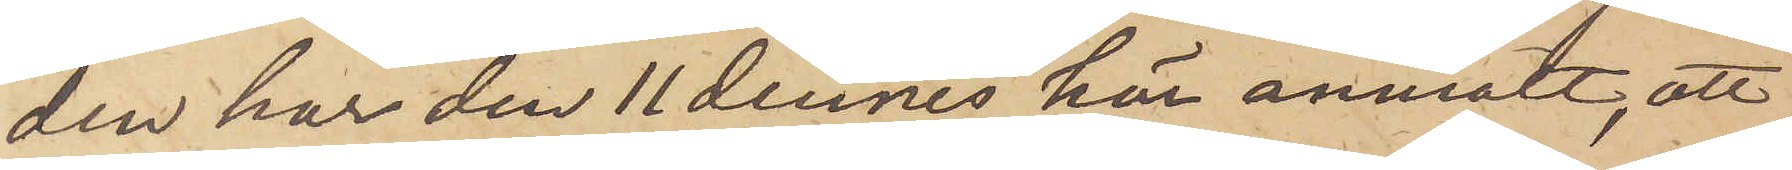den har den 11 dennes här anmält, att
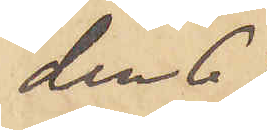den 6
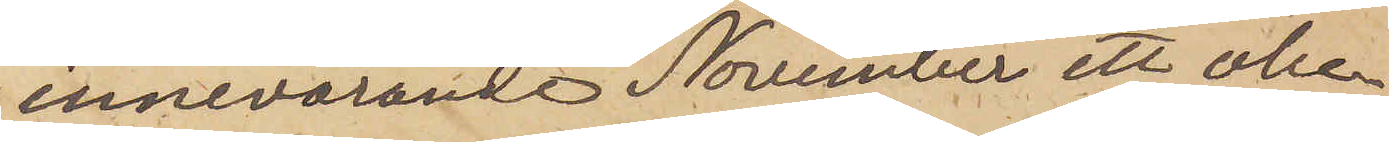innevarande November ett obe¬
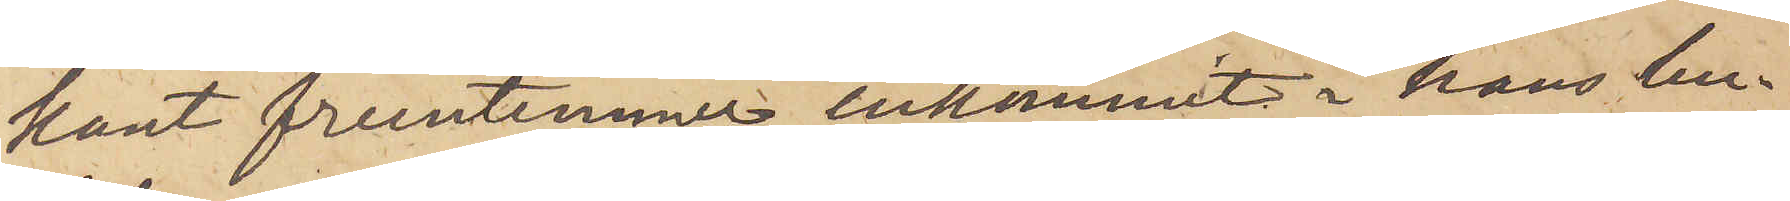kant fruntimmer inkommit i hans bu¬
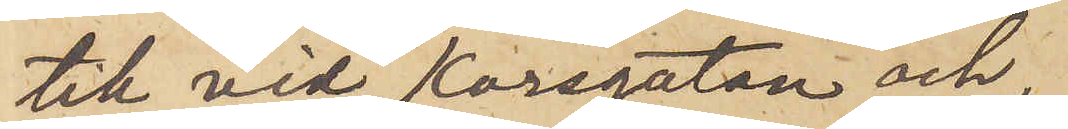tik vid Korsgatan och,
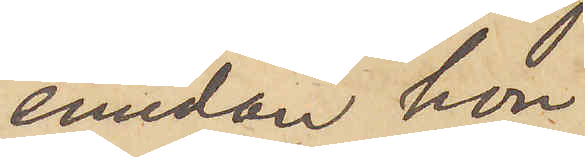emedan hon
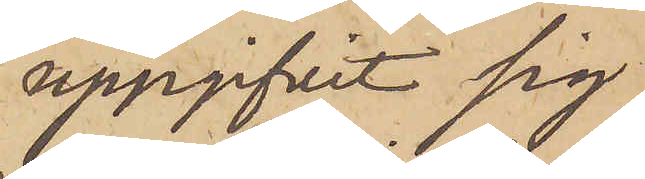uppgifvit sig
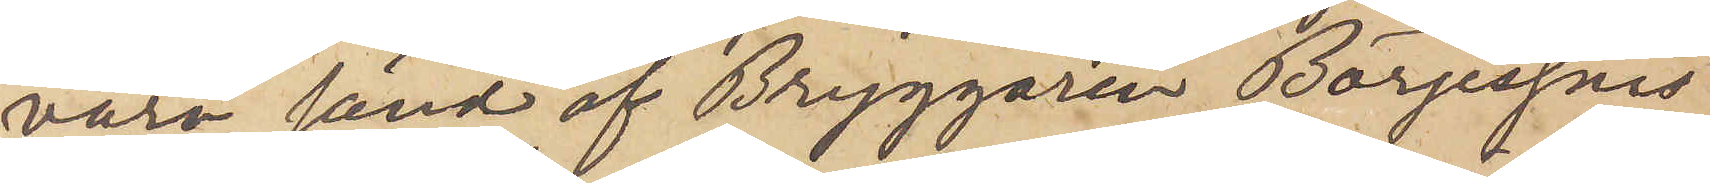vara sänd af Bryggaren Börjessons
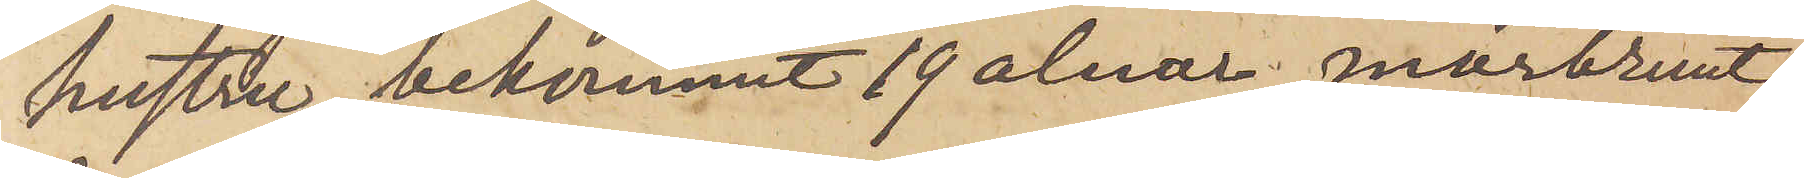hustru, bekommit 19 alnar mörkbrunt
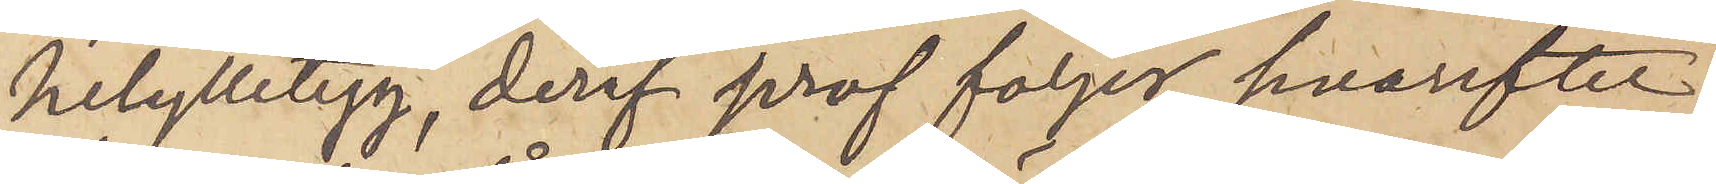helylletyg, deraf prof följer, hvarefter
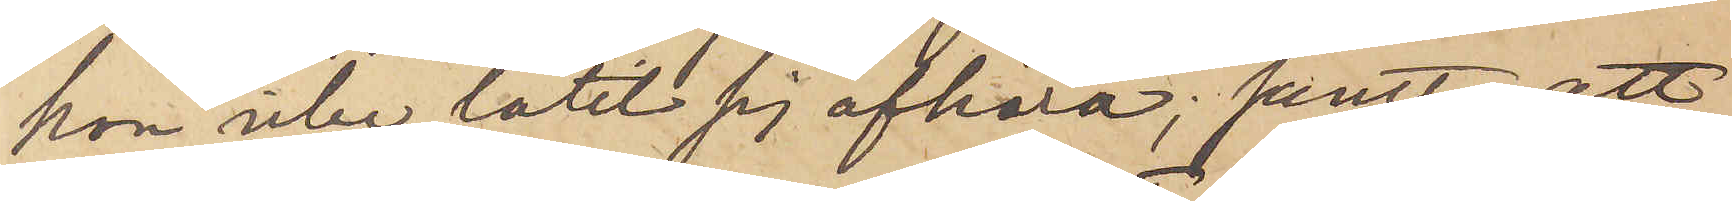hon icke låtit sig afhöra; samt att
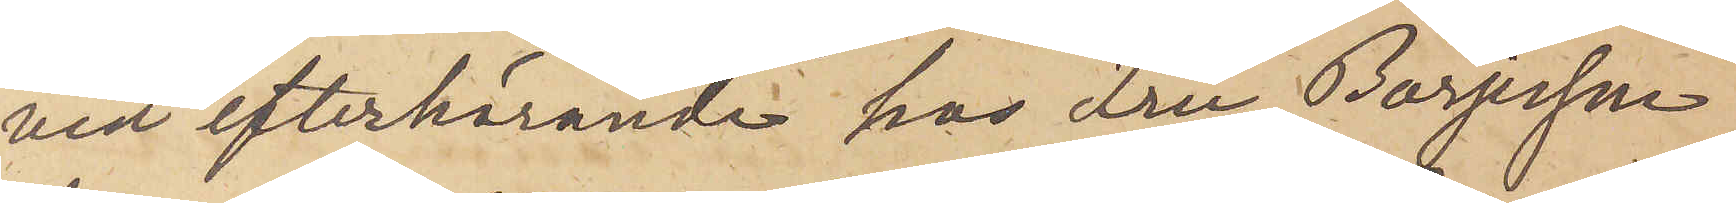vid efterhörande hos Fru Börjesson
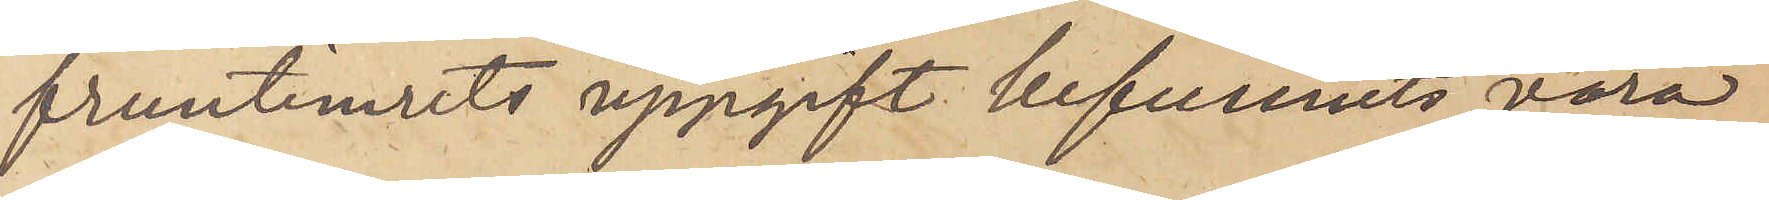fruntimrets uppgift befunnits vara
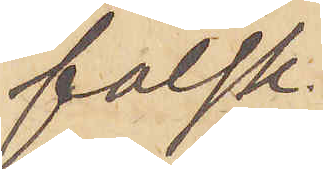falsk.
